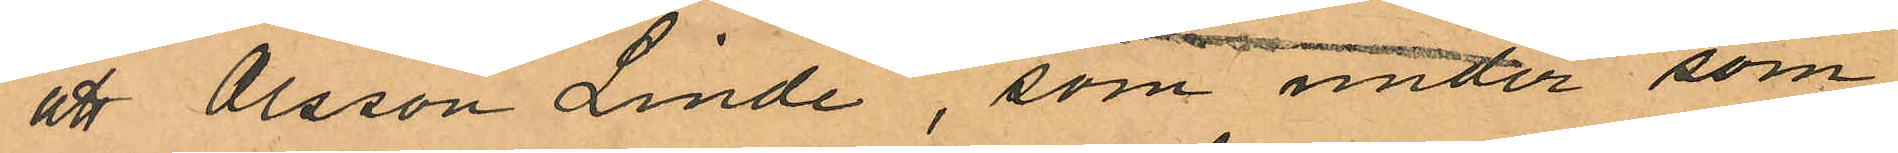att Olsson Linde, som under som
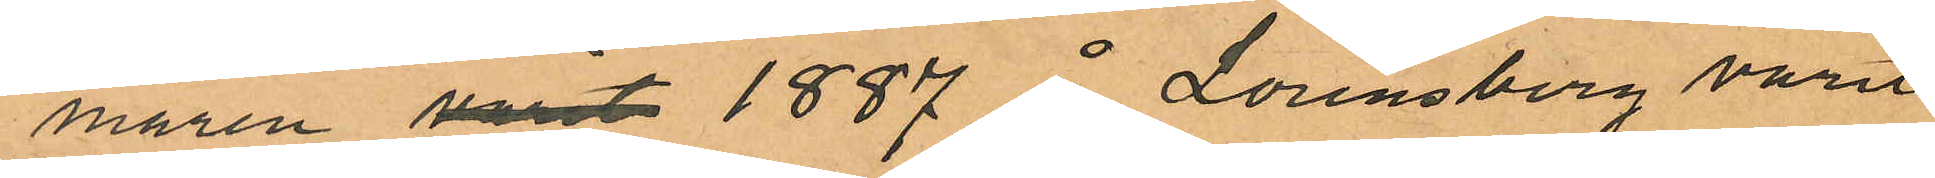maren varit 1887 å Lorensberg varit
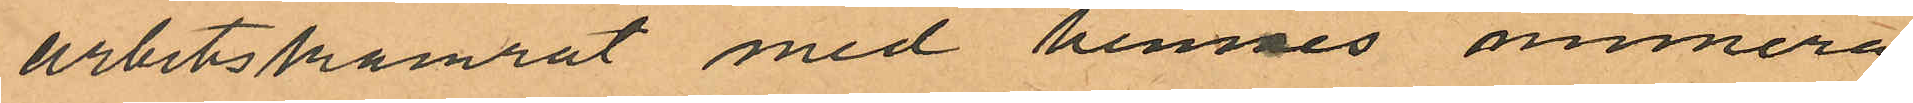arbetskamrat med hennes numera
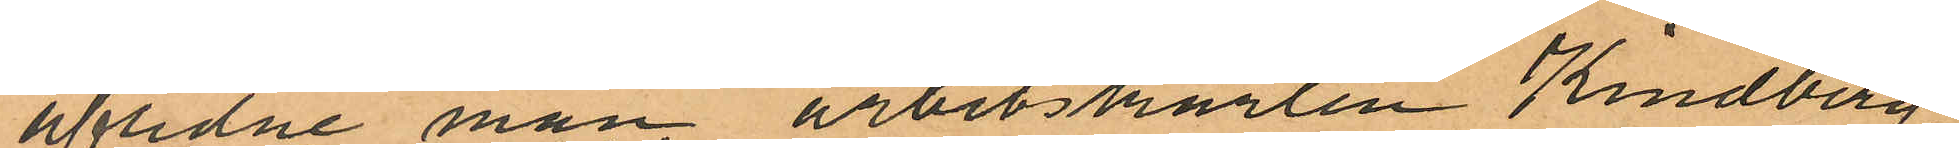afidne man arbetskarlen Kindberg,
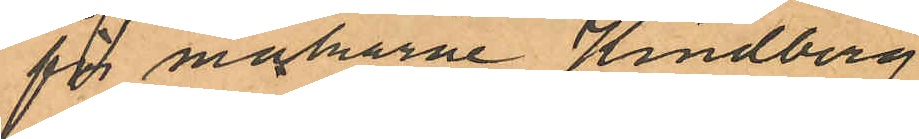för makarne Kindberg
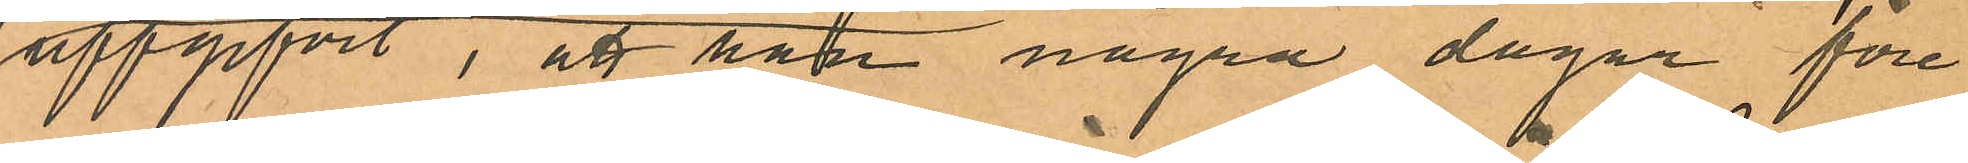uppgifvit, att han några dagar före
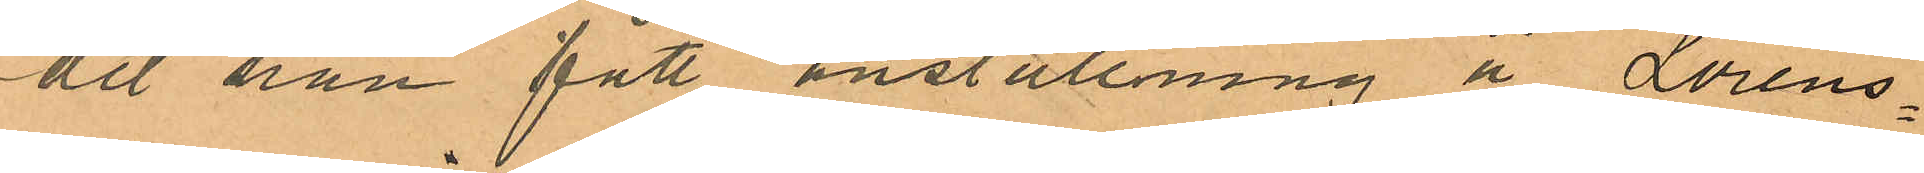det han fått anställning å Lorens¬
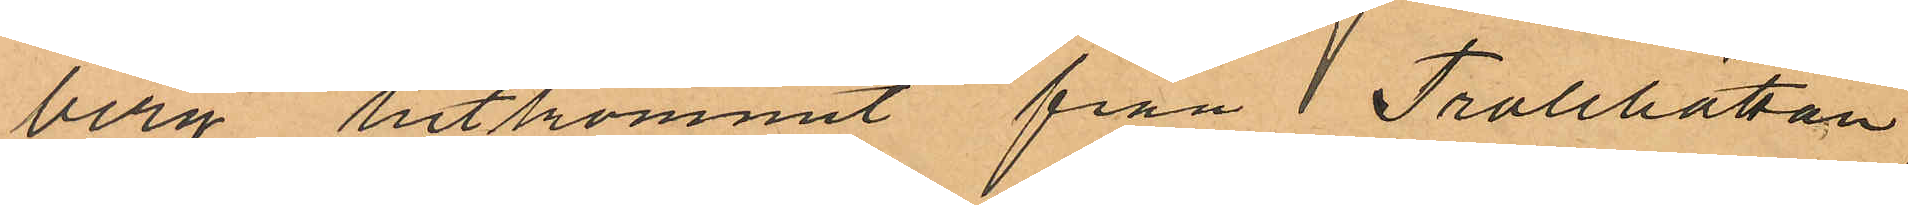berg hitkommit från Trollhättan,
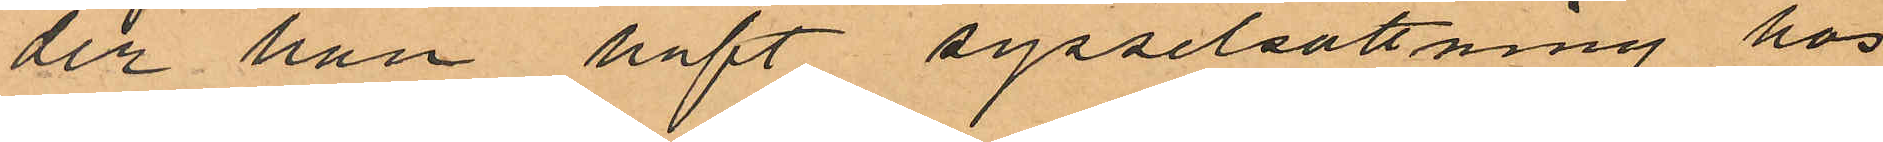der han haft sysselsättning hos
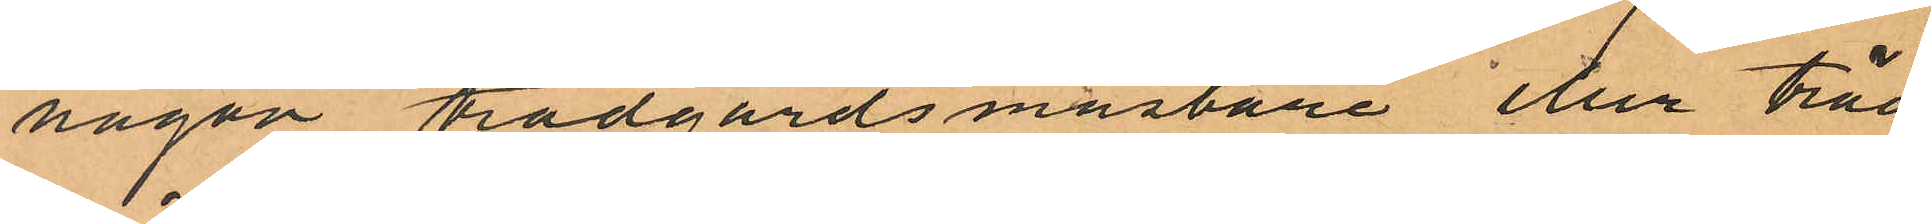någon trädgårdsmästare eller träd
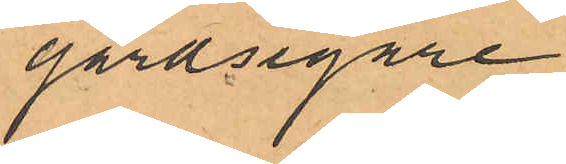gårdsegare.
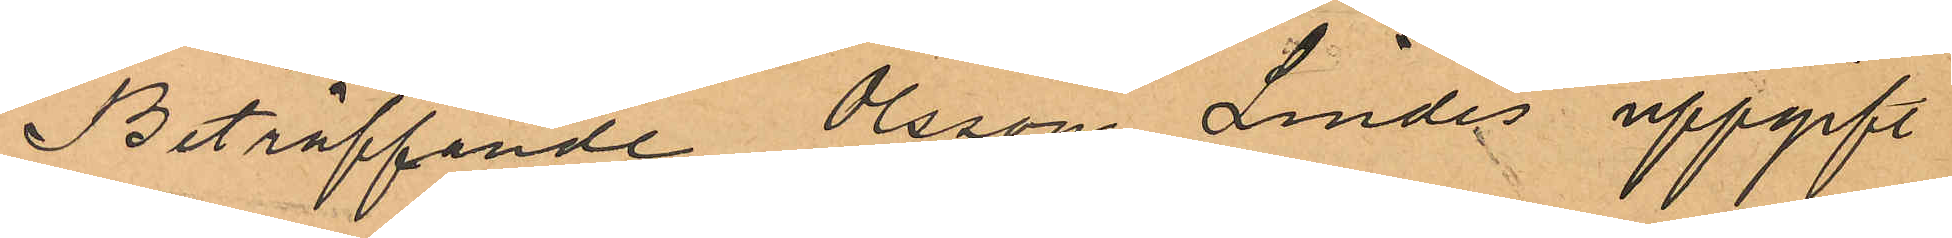Beträffande Olsson Lindes uppgift
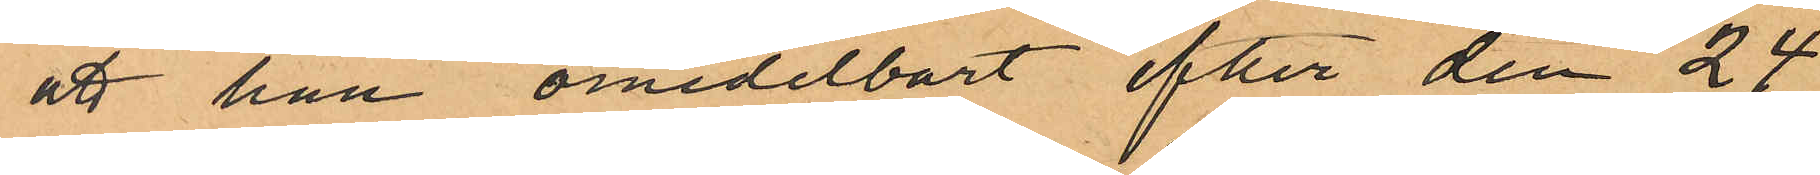att han omedelbart efter den 24
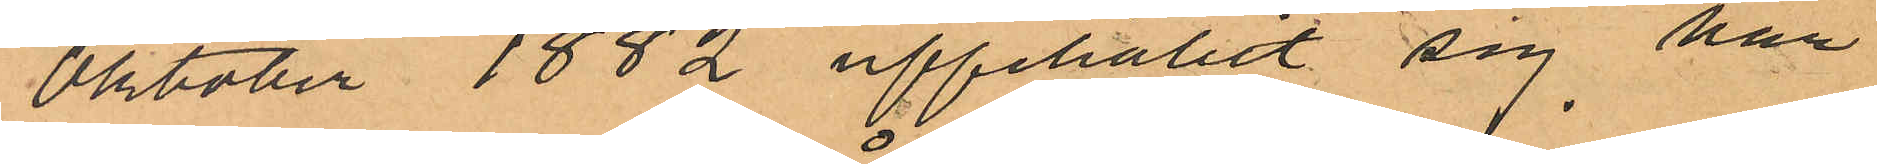Oktober 1882 uppehållit sig här
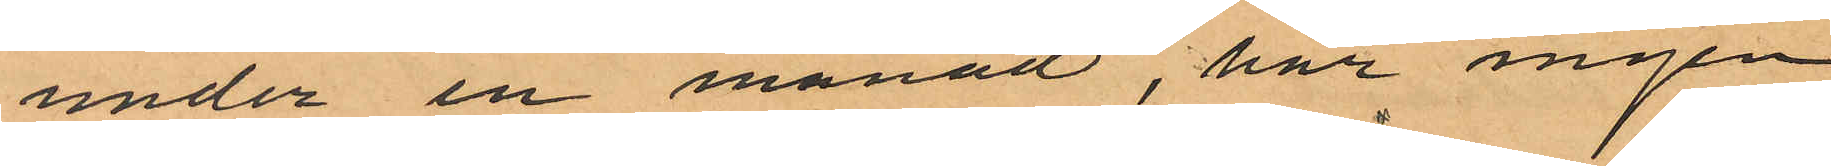under en månad, har ingen
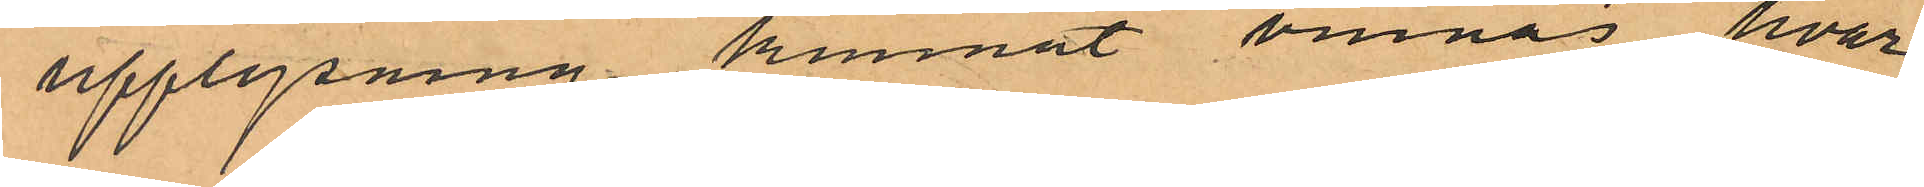upplysning kunnat vinnas hvar
